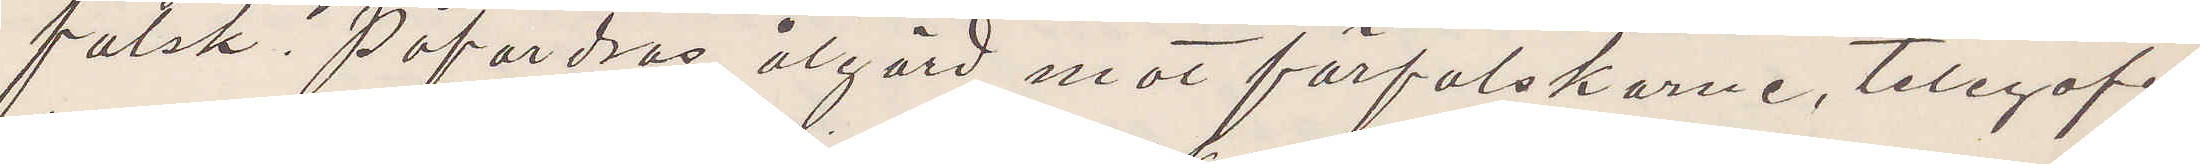falsk. Påfordras åtgärd mot förfalskarne, telegrafe¬
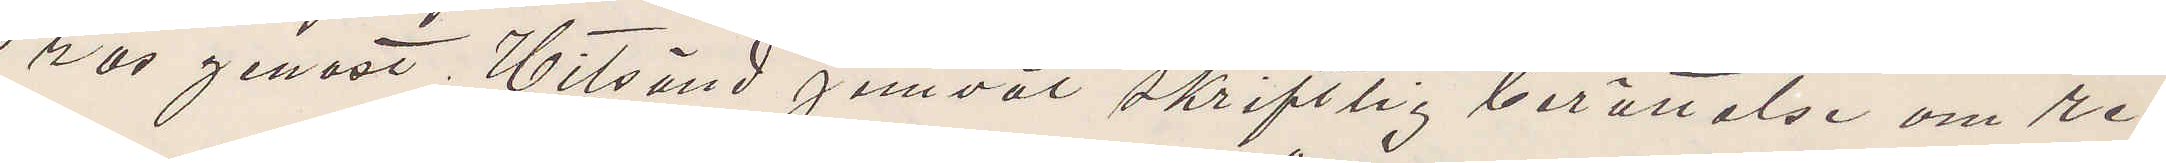ras genast. Hitsänd jemväl skriftlig berättelse om re¬
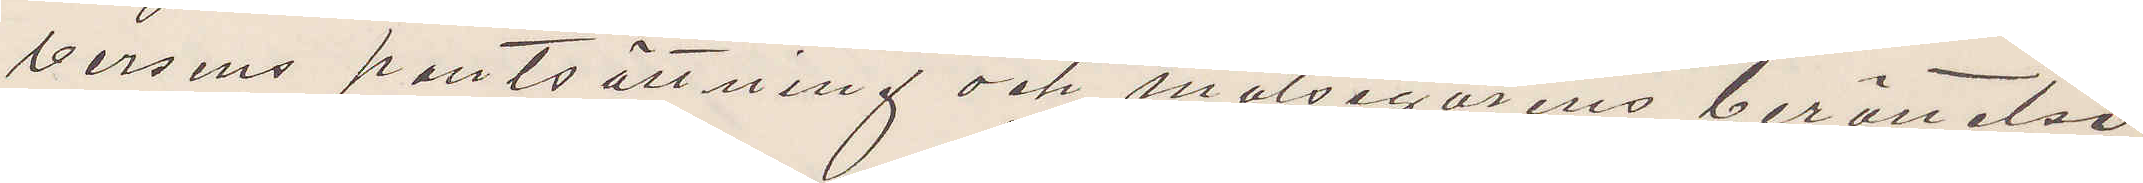versens pantsättning och målsegarens berättelse
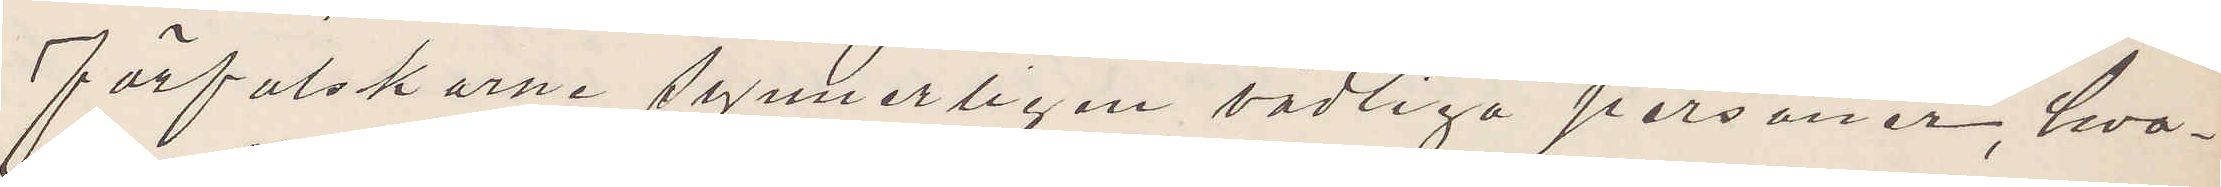förfalskarne synnerligen vådliga personer, hva¬
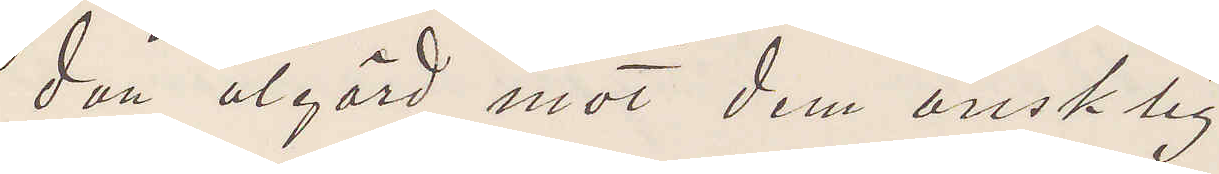dan åtgärd mot dem önsklig.
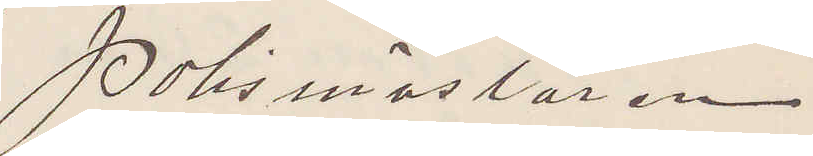Polismästaren
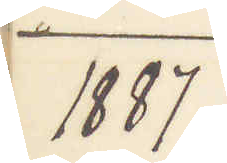1887
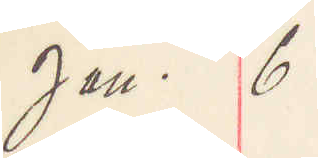Jan. 6
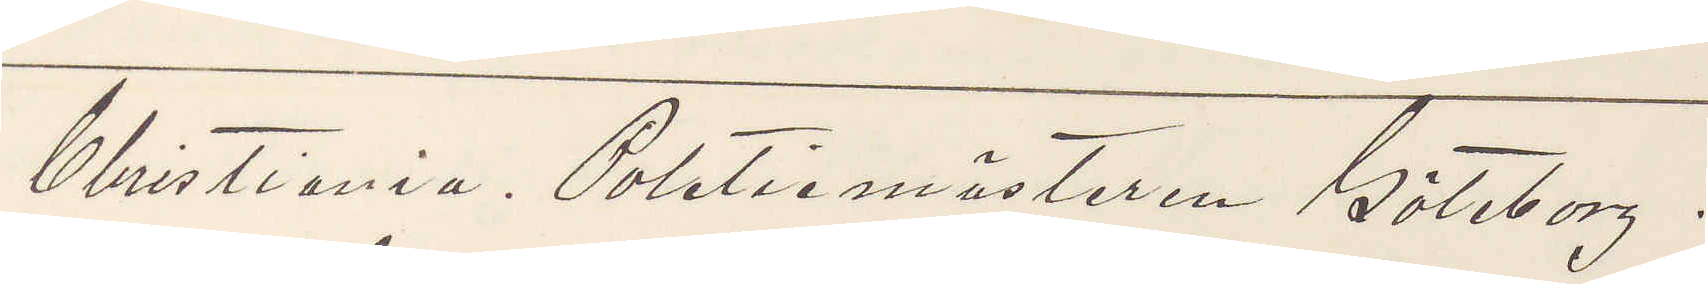Christiania Polismästaren Göteborg.
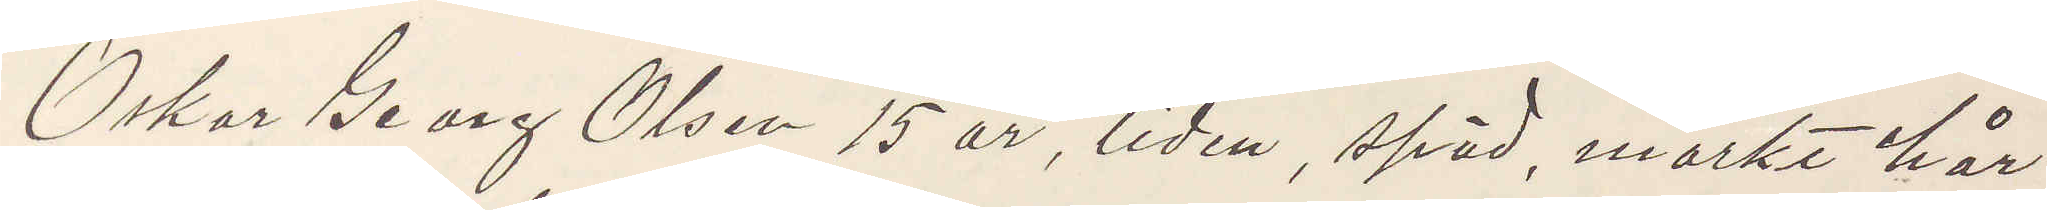Oskar Georg Olsen 15 år, liten, späd mörkt här
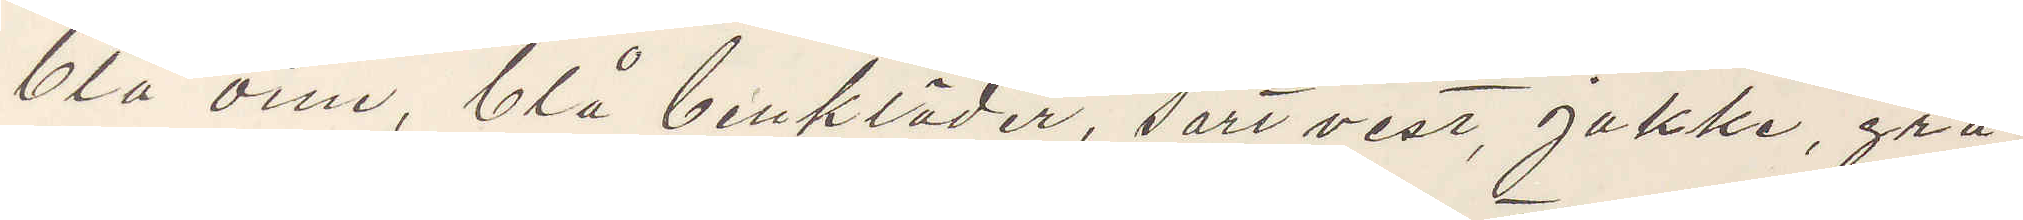blå oine, blå benkläder, sort vest, jakke, grå
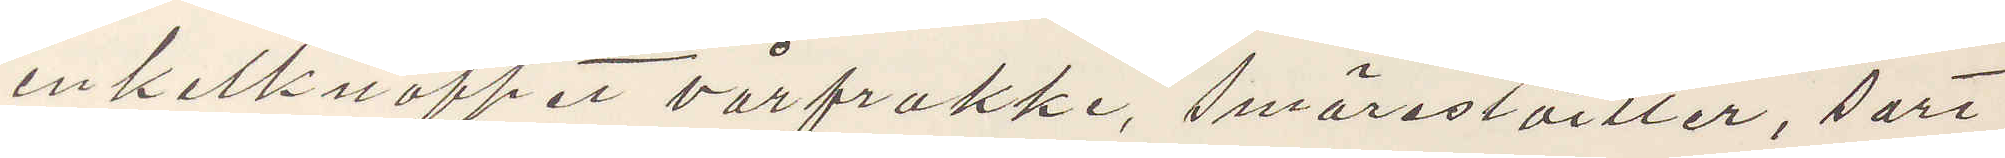enkelknappet vårfrakke, smörestöiller, sart
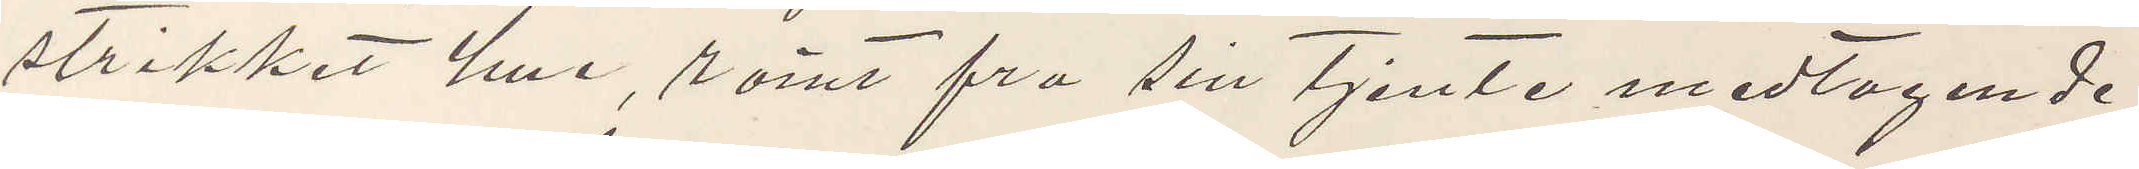strikket hue, römt frå sin tjente medtagende
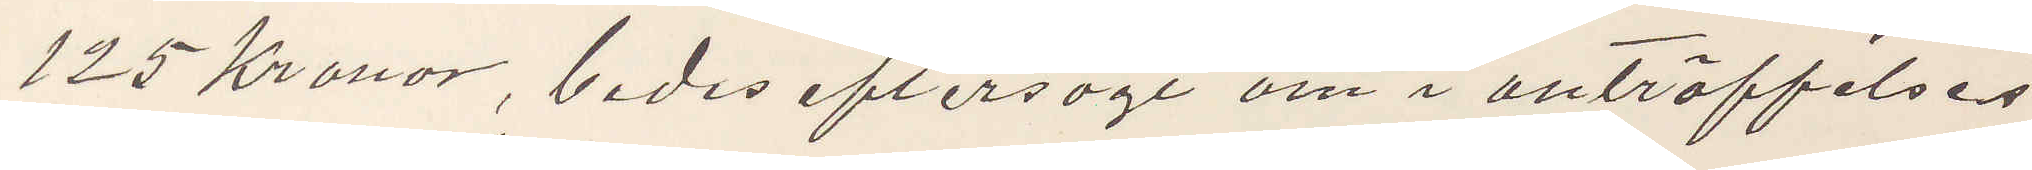125 Kronor, bedes eftersögt om i anträffelses
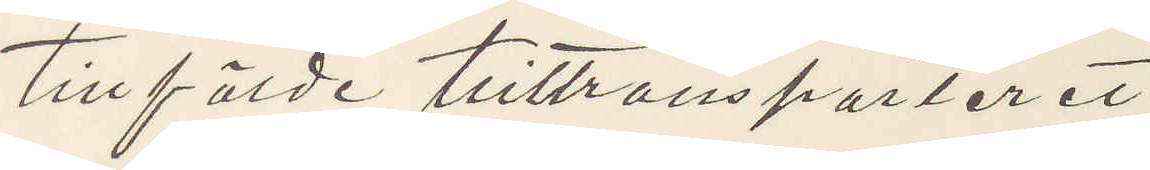tillförde hittransporteret.
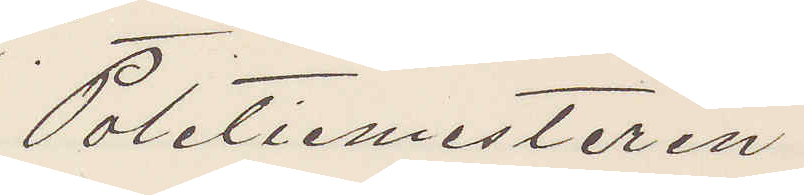Politiemesteren
